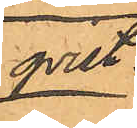qvist.
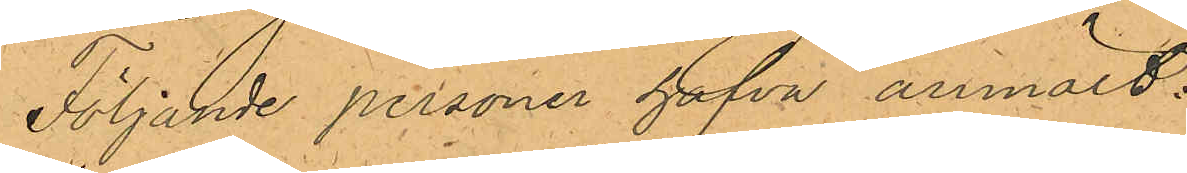Följande personer hafva anmält:
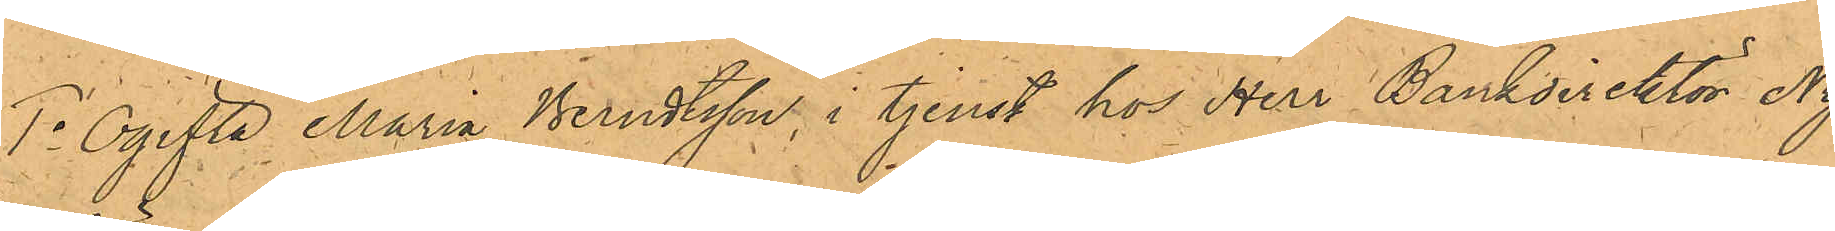1o Ogifta Maria Berndtsson, i tjenst hos Herr Bankdirektör Ny¬
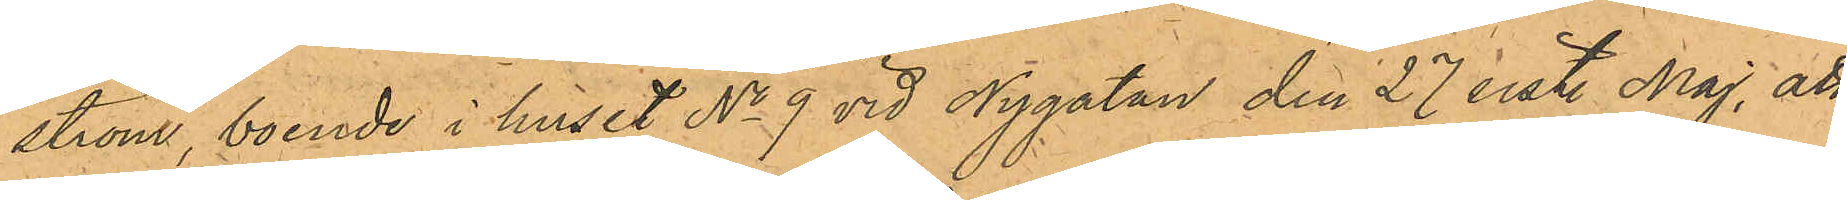ström, boende i huset No 9 vid Nygatan den 27 sist. Maj, att
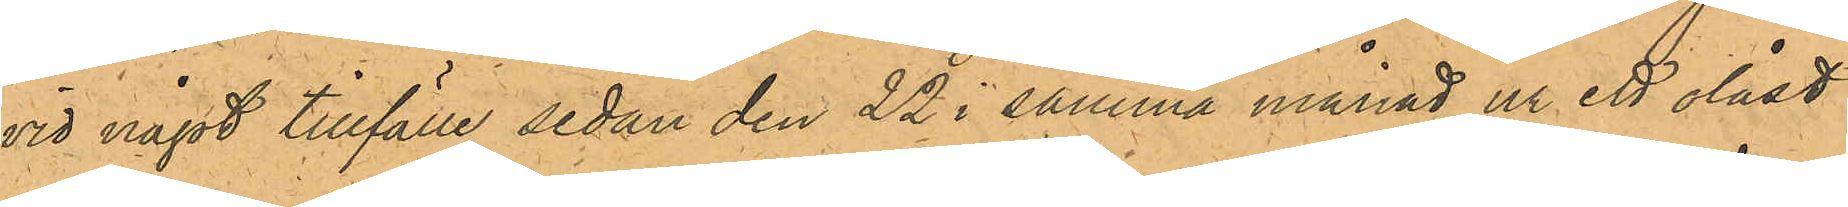vid något tillfälle sedan den 22 i samma månad ur ett olåst
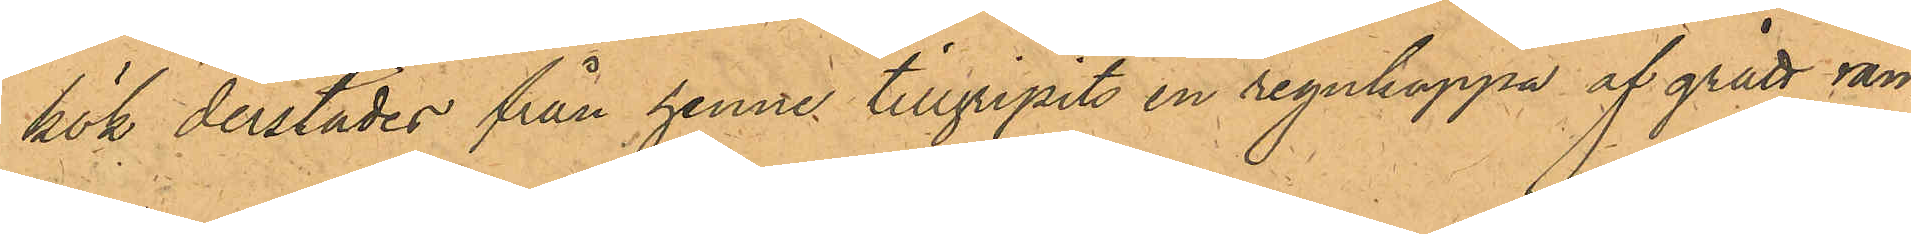kök derstädes från henne tillgripits en regnkappa af grått ran¬
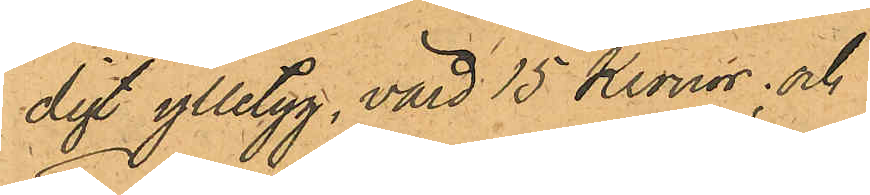digt ylletyg, värd 15 Kronor; och
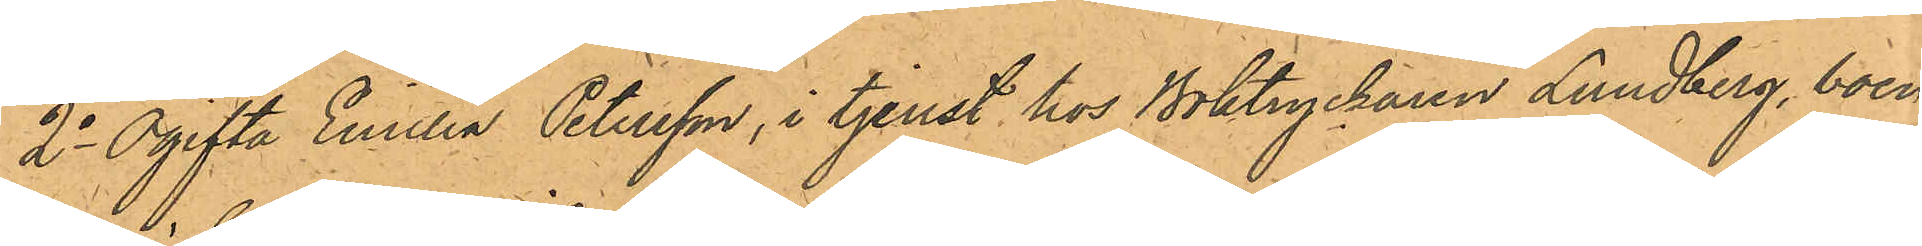2o Ogifta Emilia Petersson, i tjenst hos Boktryckaren Lundberg, boen¬
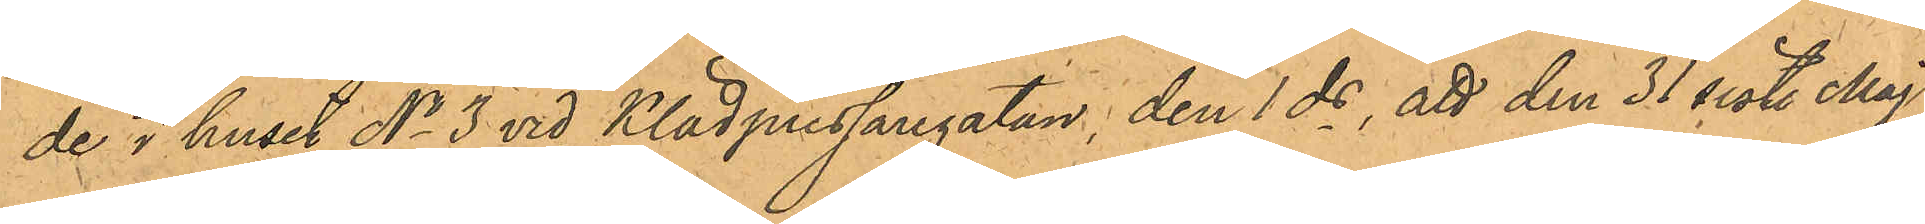de i huset No 3 vid Klädpressaregatan, den 1 ds, att den 31 sist. Maj
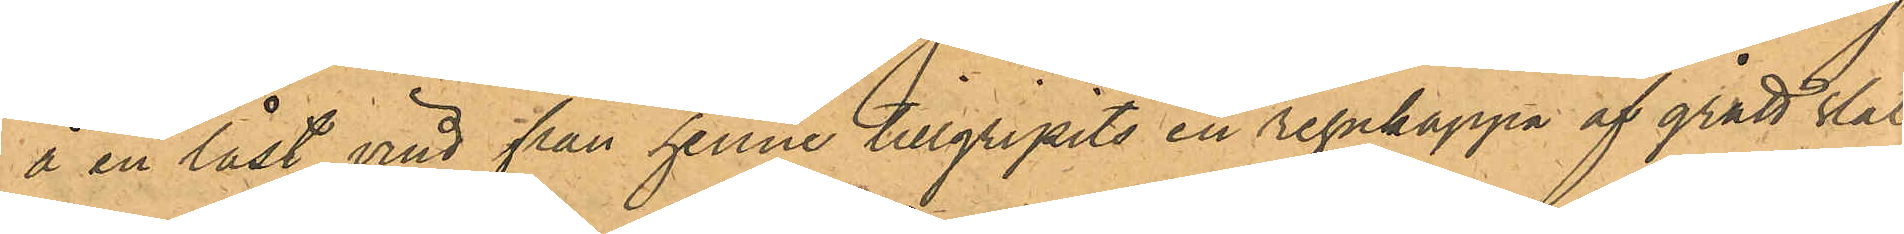å en låst vind från henne tillgripits en regnkappa af grått slät
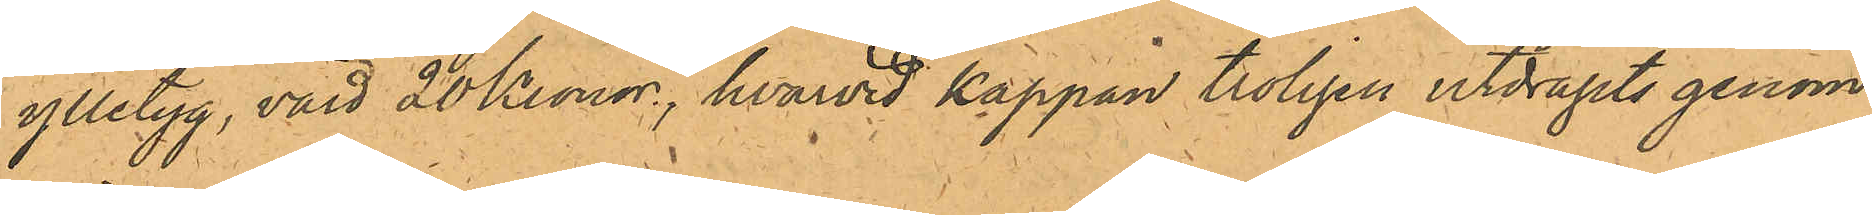ylletyg, värd 20 Kronor, hvarvid kappan troligen utdragits genom
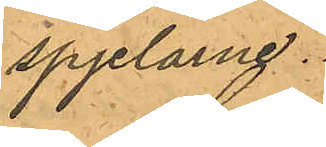spjelarne.
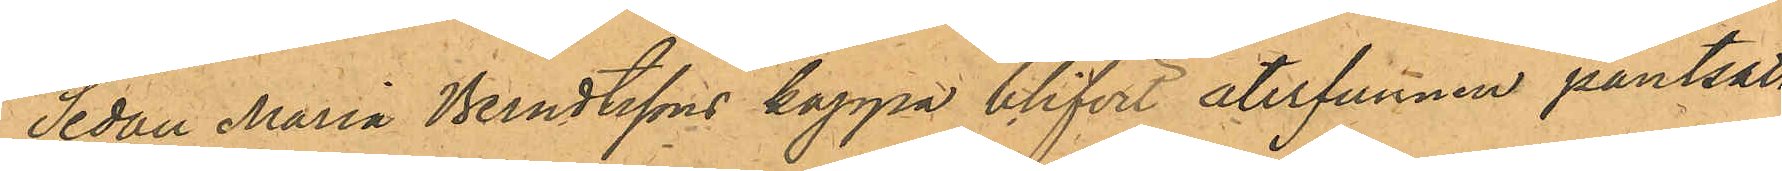Sedan Maria Berndtssons kappa blifvit återfunnen pantsatt
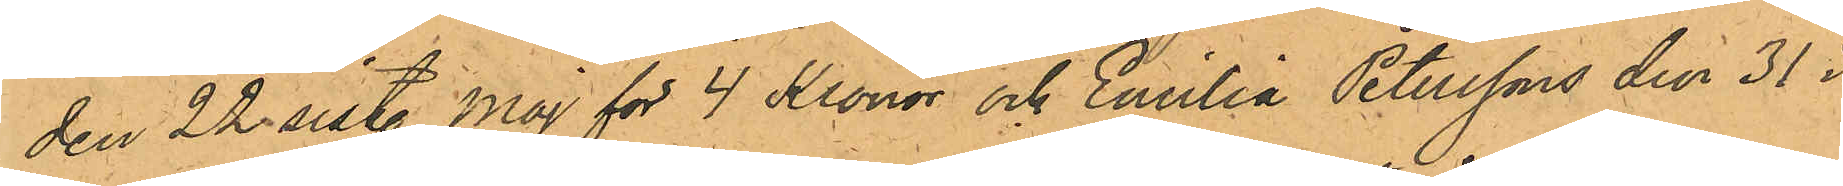den 22 sist. Maj för 4 Kronor och Emilia Peterssons den 31 i
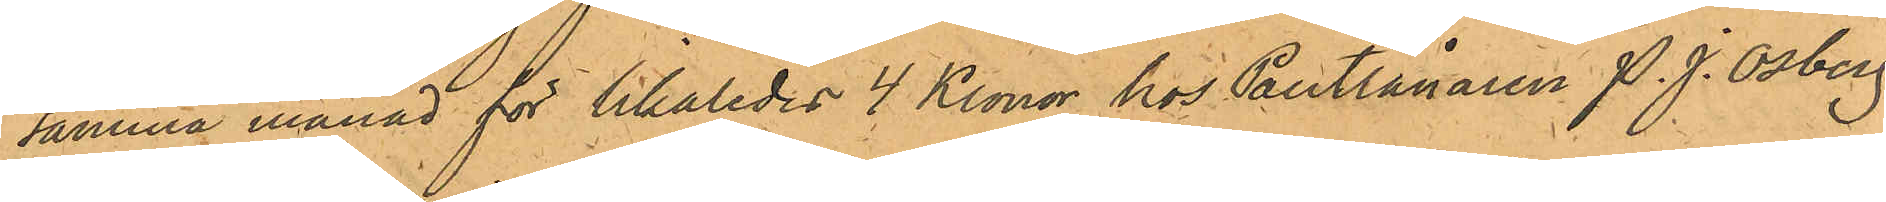samma månad för likaledes 4 Kronor hos Pantlånaren P. J. Osberg
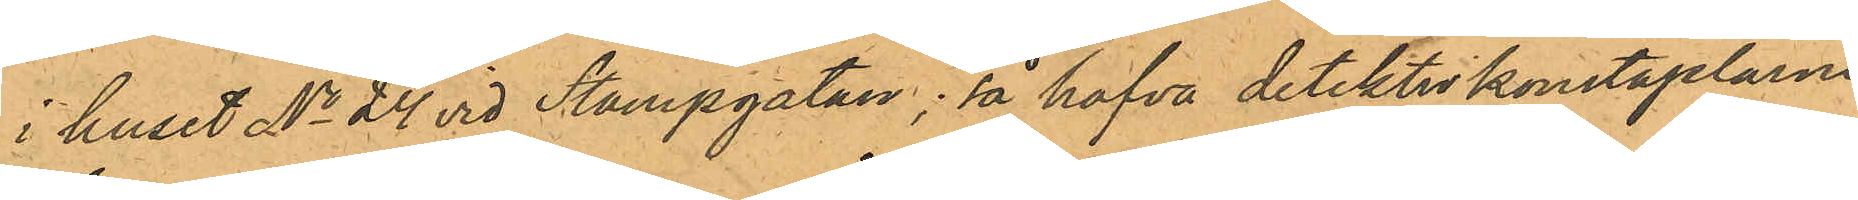i huset No 24 vid Stampgatan; så hafva detektivkonstaplarne
